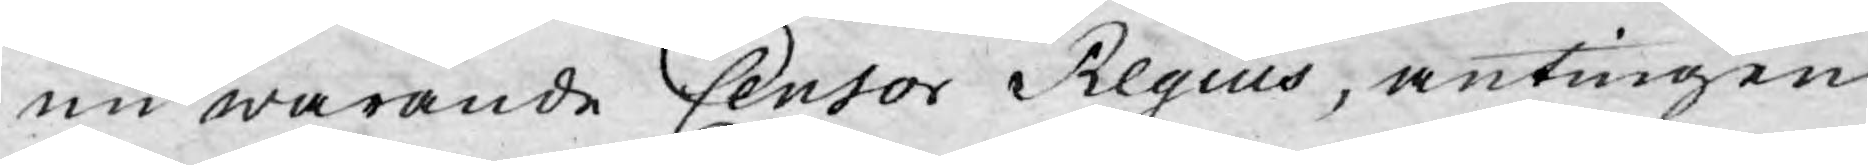nu warande Censor Regius, antingen
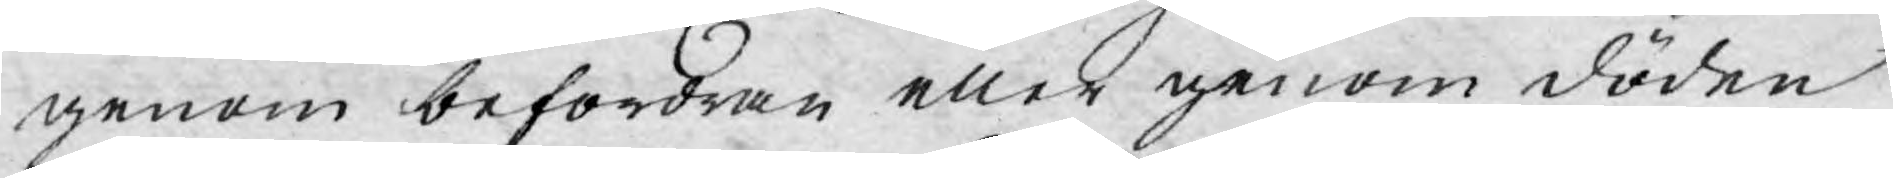genom befordran eller genom döden
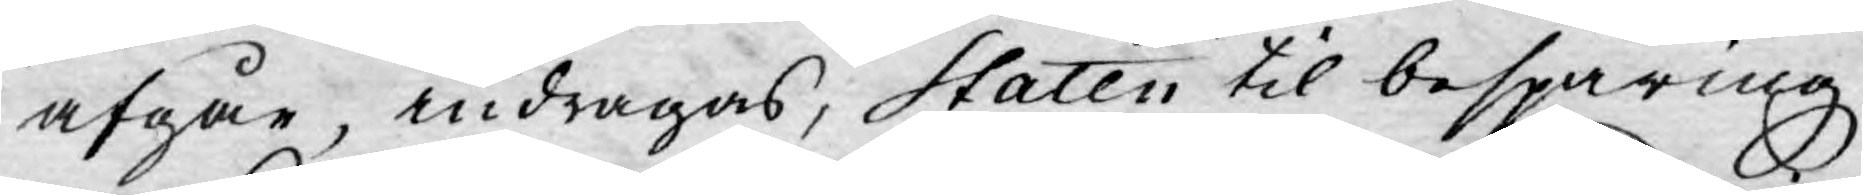afgår, indragas, Staten til besparing.
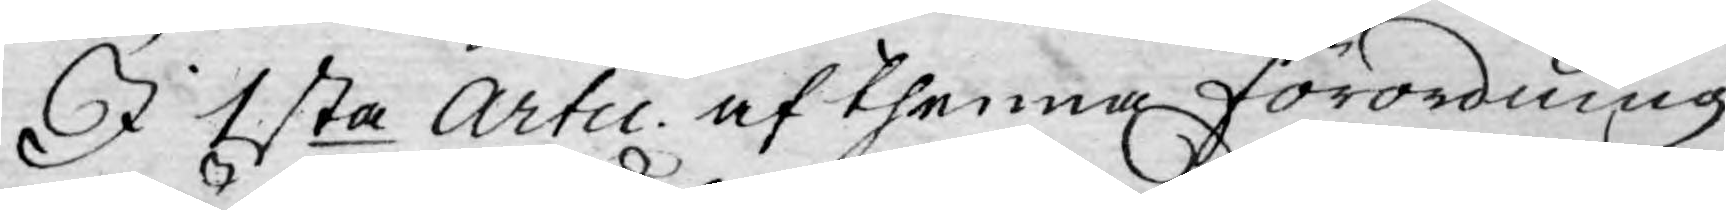I 1sta Artic. af thenna förordning
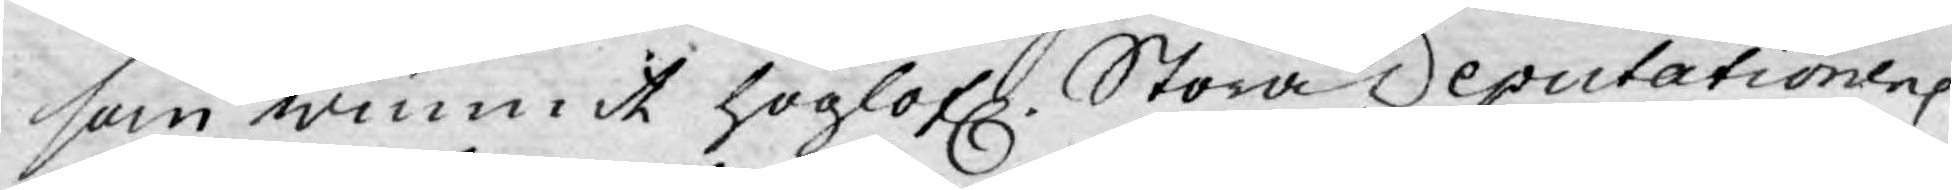som wunnit höglofl. Stora Deputationens
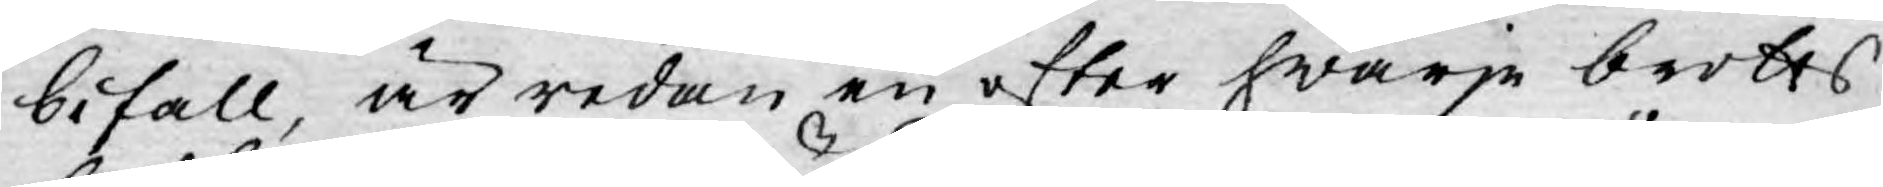bifall, är redan en efter hwarje brotts
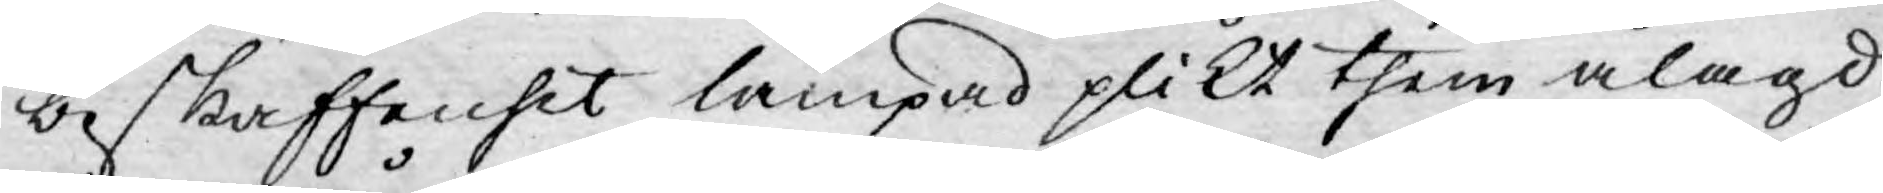beskaffenhet lämpad plikt them ålagd
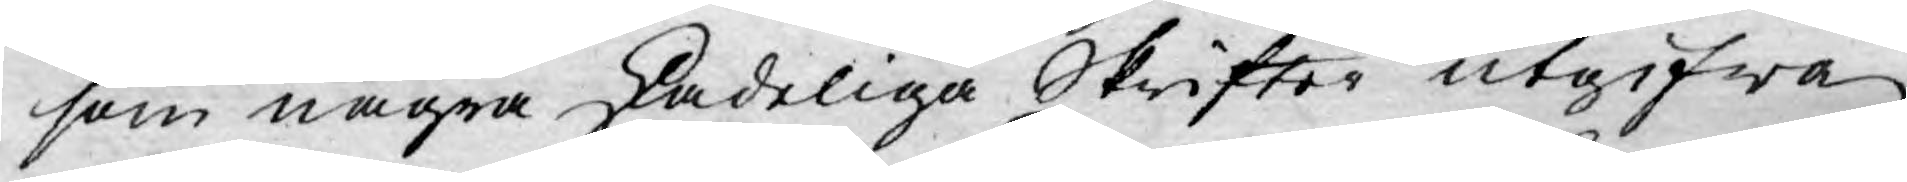som några skadeliga Skrifter utgifwa
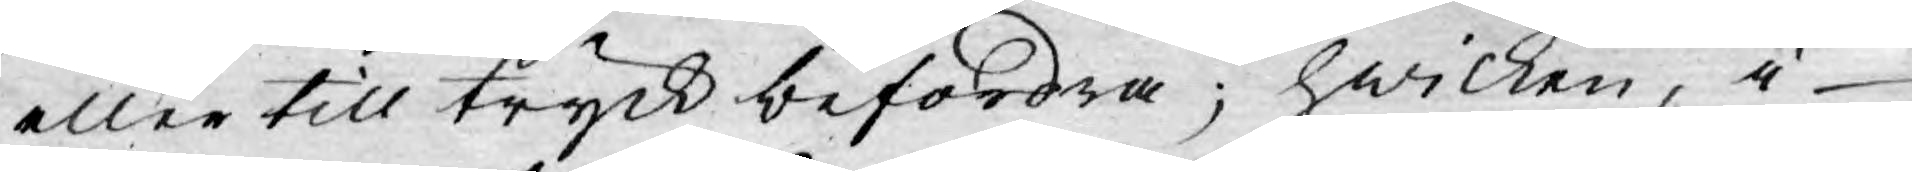eller till tryck befordra; hwilken, i
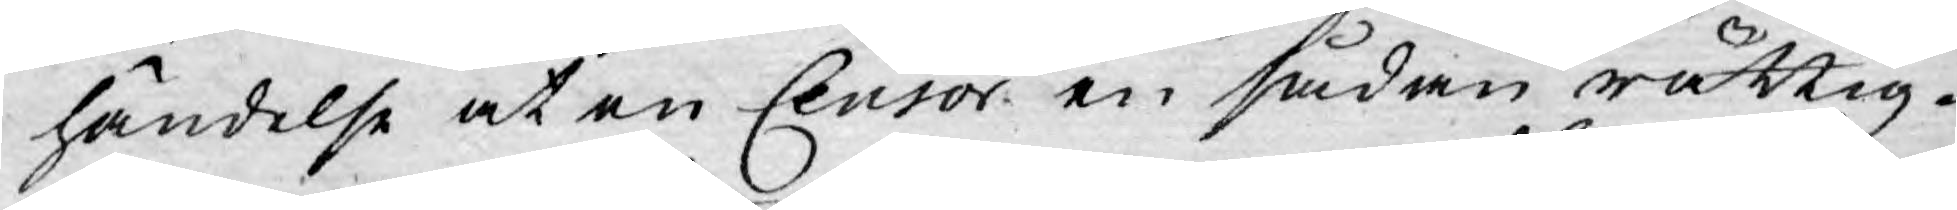händelse at en Censor en sådan rättig¬
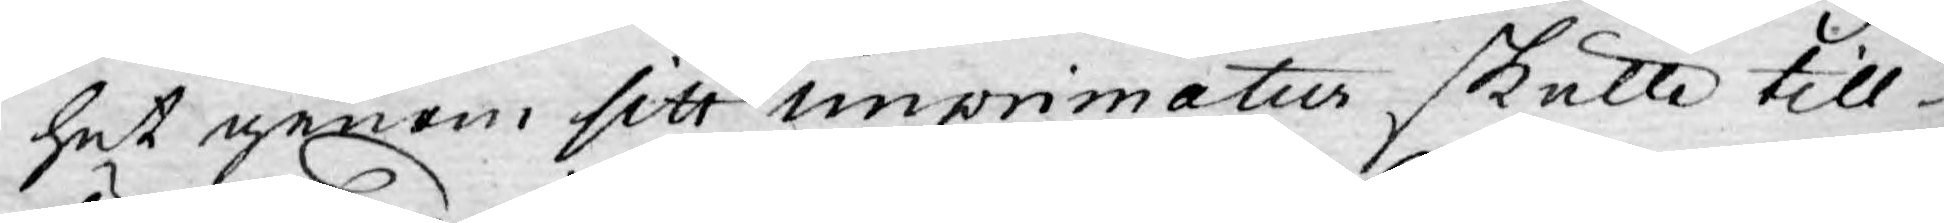het genom sitt imprimatur skulle till¬
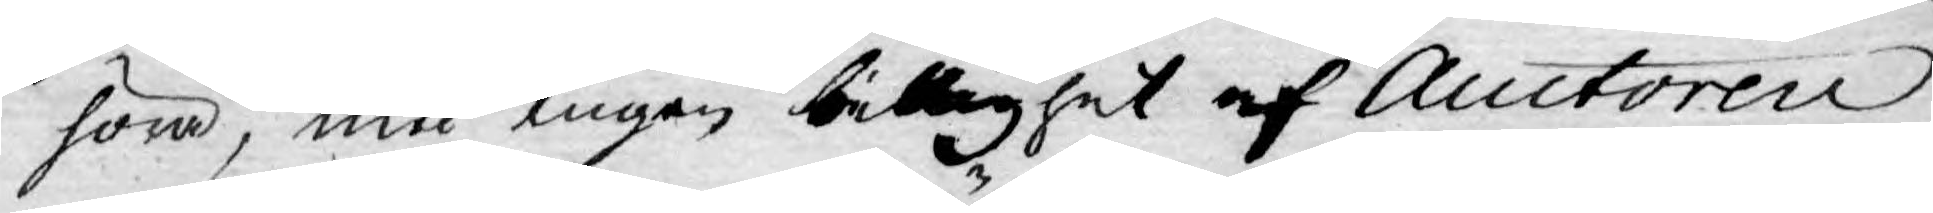höra, med ingen billighet af Auctoren
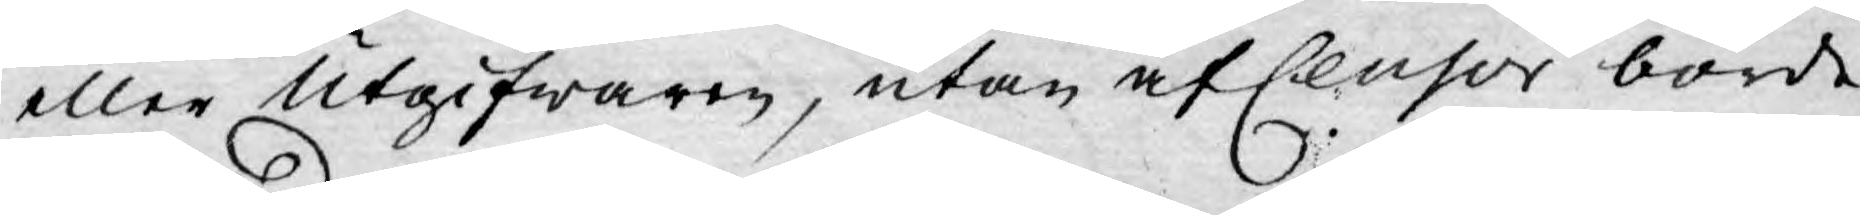eller Utgifwaren, utan af Censor borde
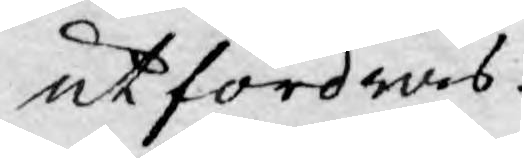utfordras.
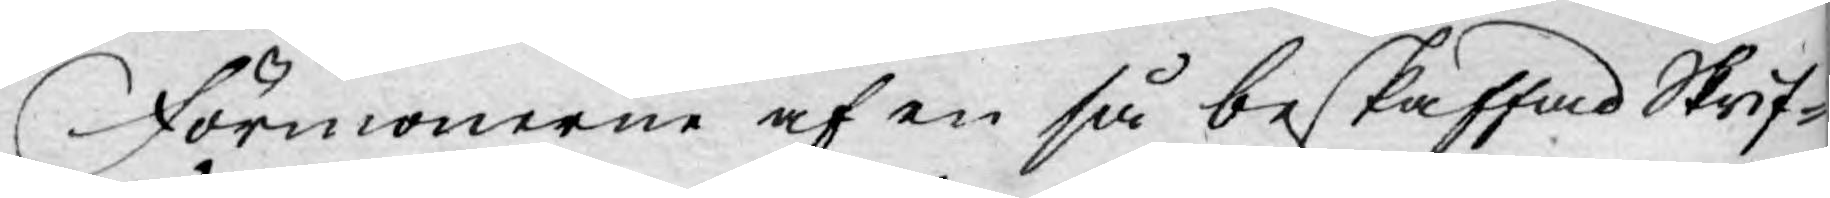Förmonerne af en så beskaffad Skrif-
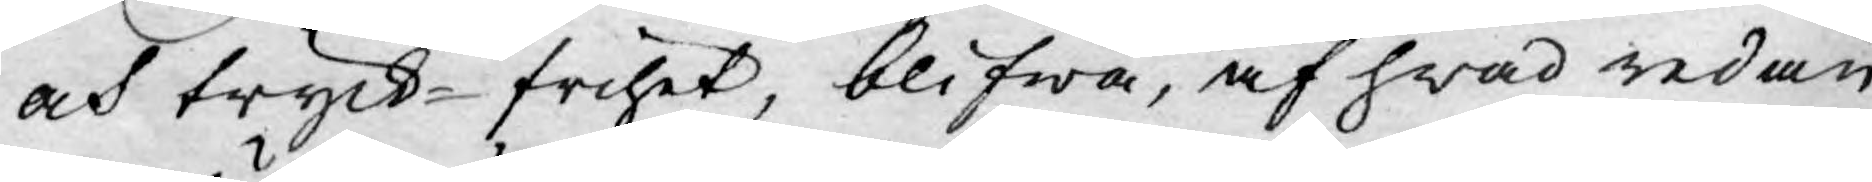och tryck-frihet, blifwa, af hwad redan
